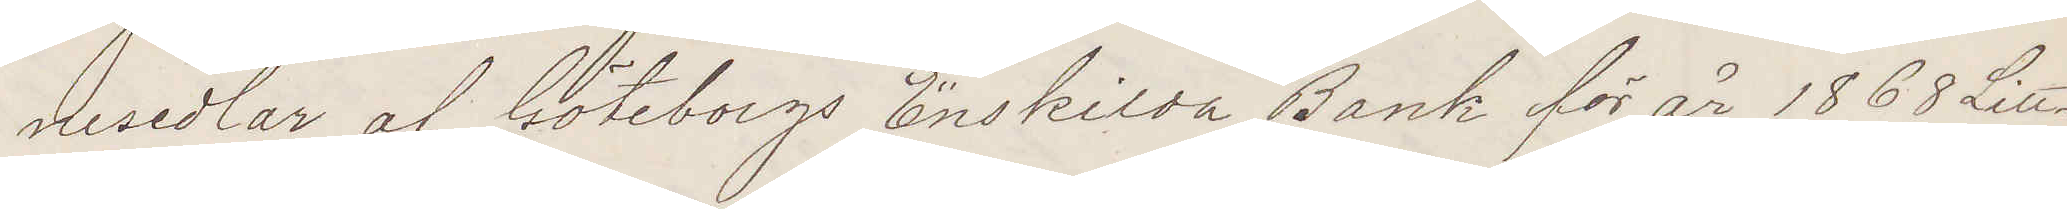nesedlar af Göteborgs Enskilda Bank för år 1868 Litt
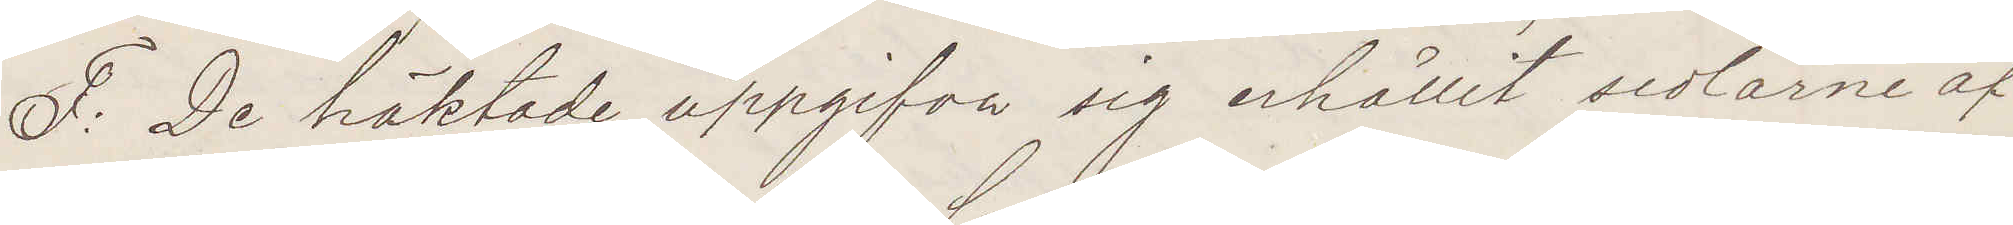F: De häktade uppgifva sig erhållit sedlarne af
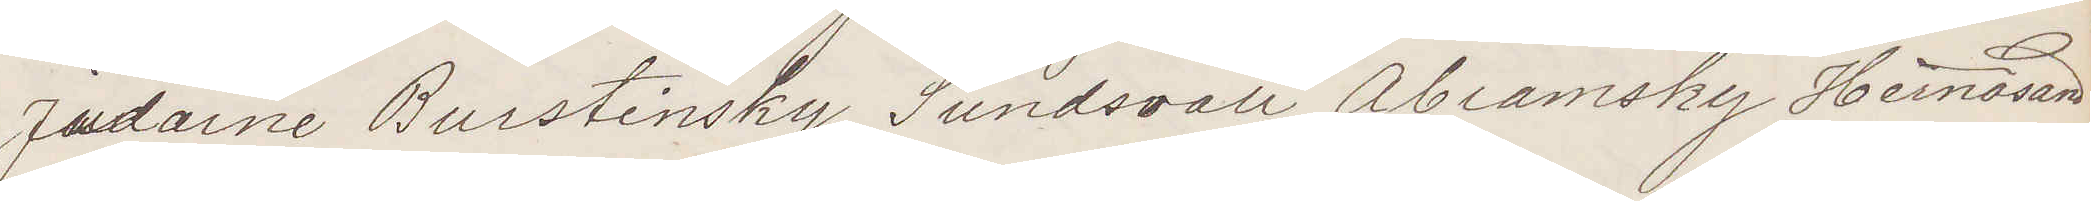Judarne Burstinsky Sundsvall, Abramsky Hernösand
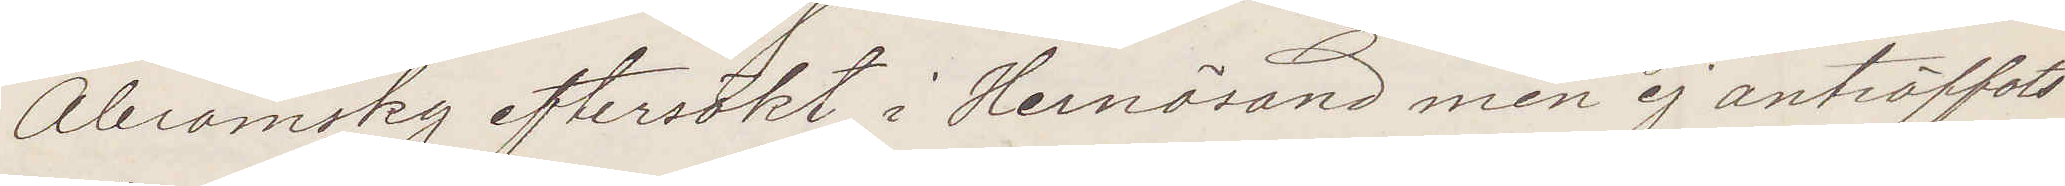Abramsky eftersökt i Hernösand men ej anträffats
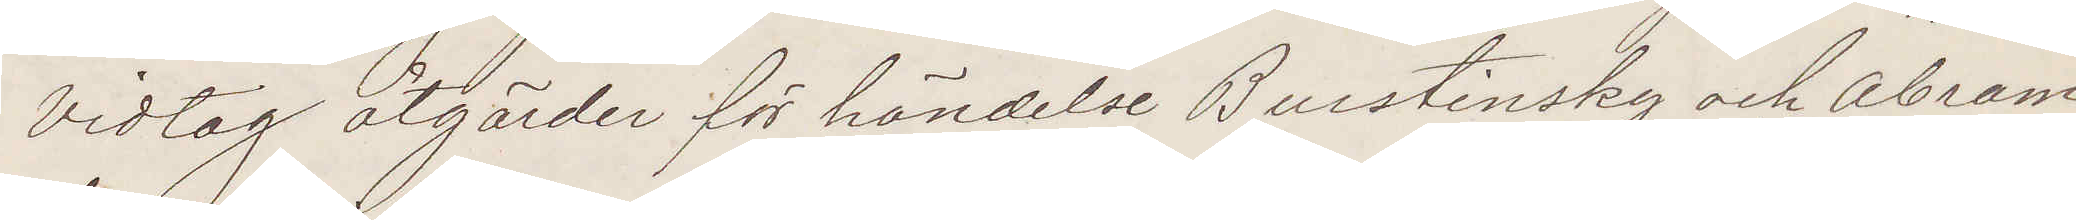Vidtag åtgärder för händelse Burstinsky och Abram¬
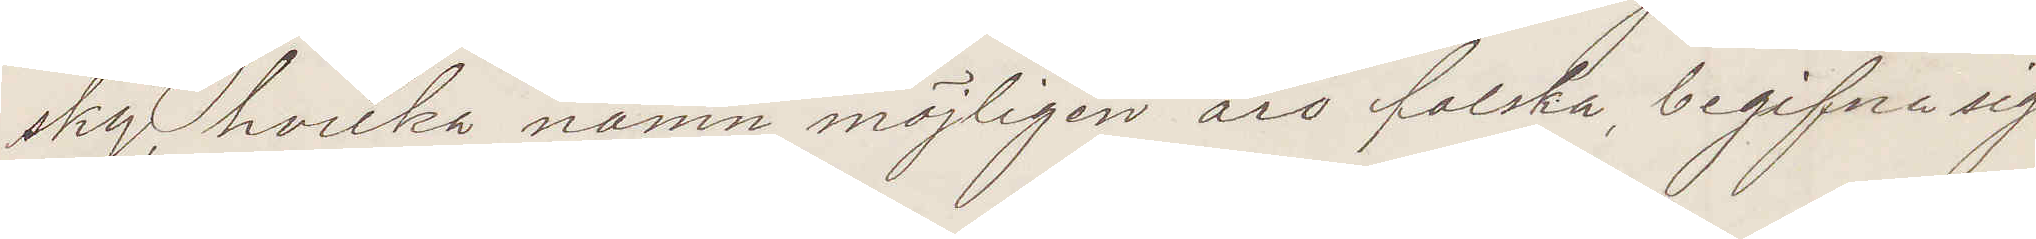sky, hvilka namn möjligen äro falska, begifne sig
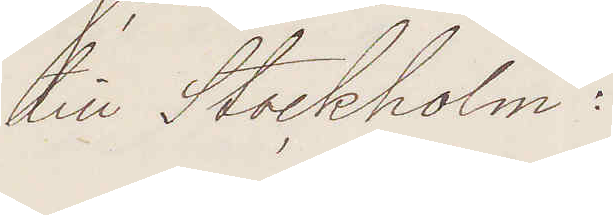till Stockholm:
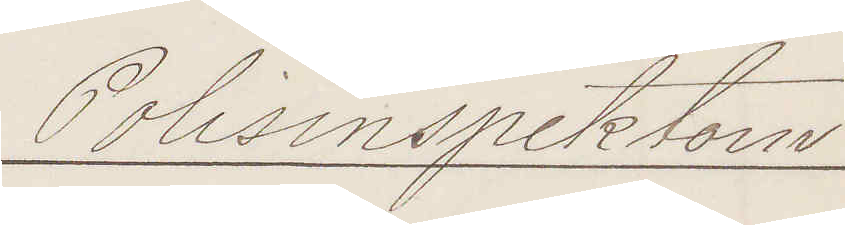Polisinspektorn
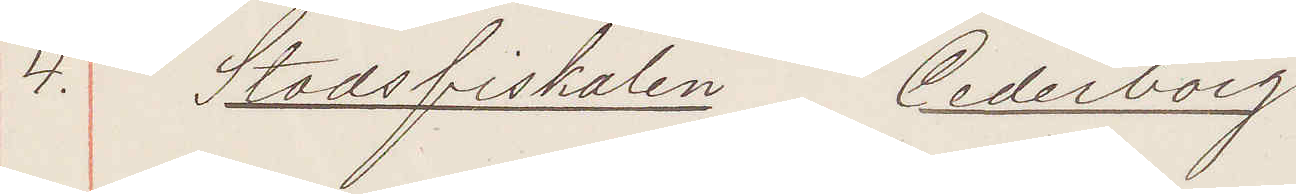4. Stadsfiskalen Cederborg
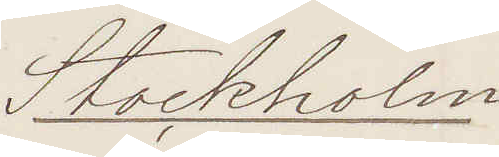Stockholm
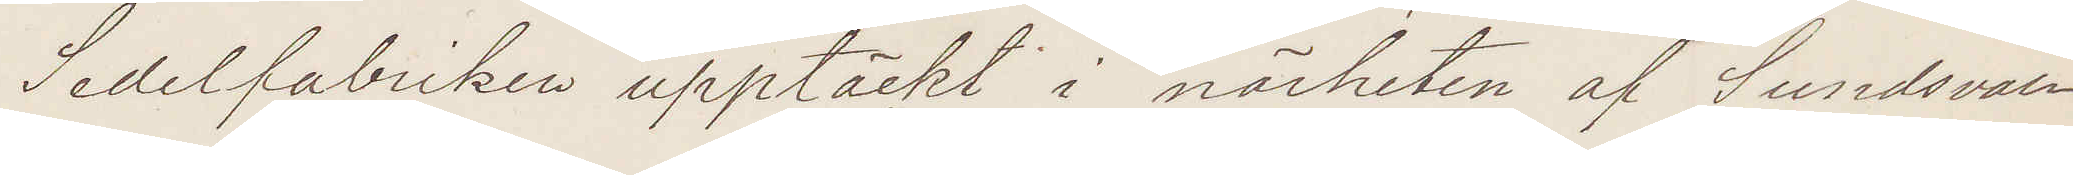Sedelfabriken upptäckt i närheten af Sundsvall
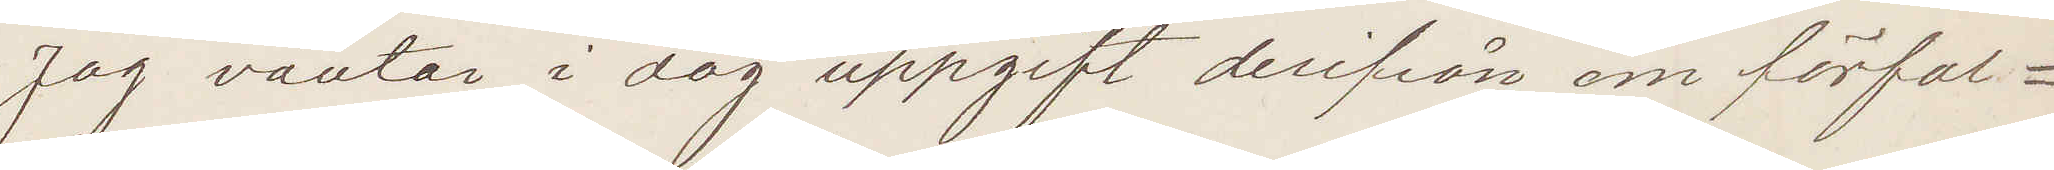Jag väntar i dag uppgift derifrån om förfal¬
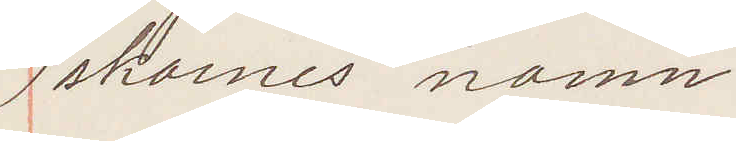skarnes namn.
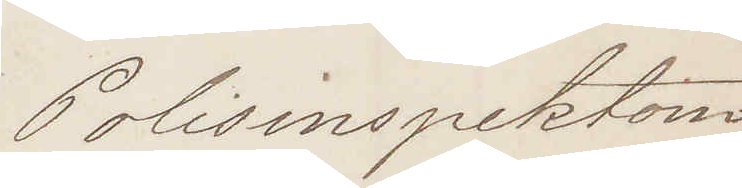Polisinspektorn
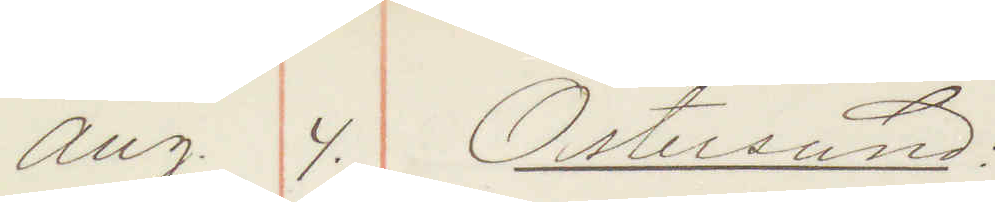Aug 4. Östersund:
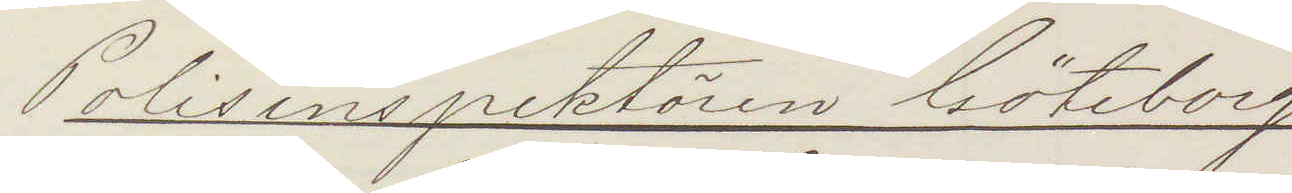Polisinspektören Göteborg
